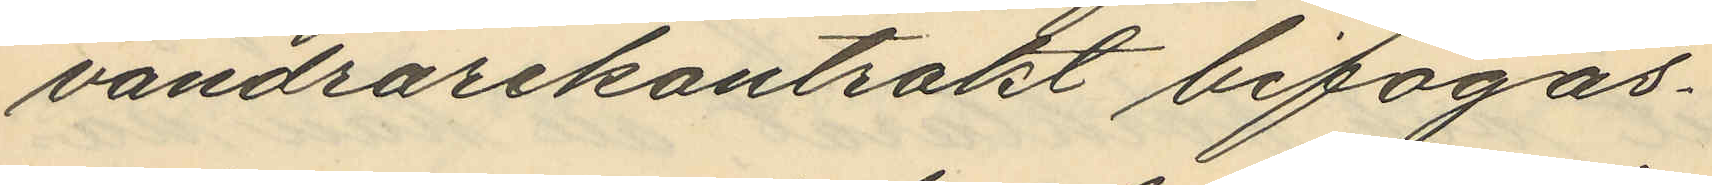vandrarekontrakt bifogas.
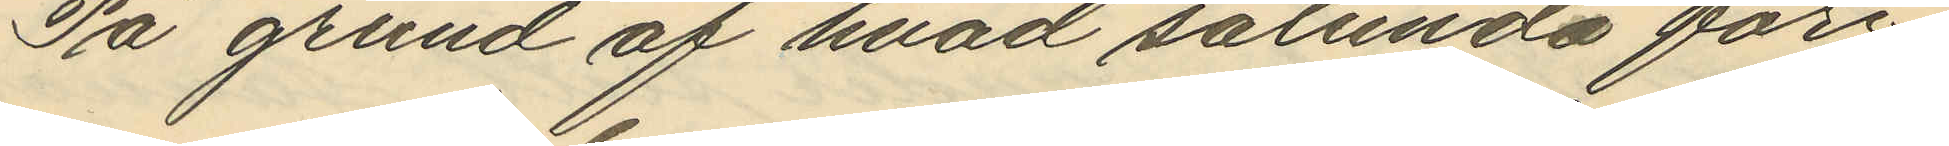På grund af hvad sålunda före¬
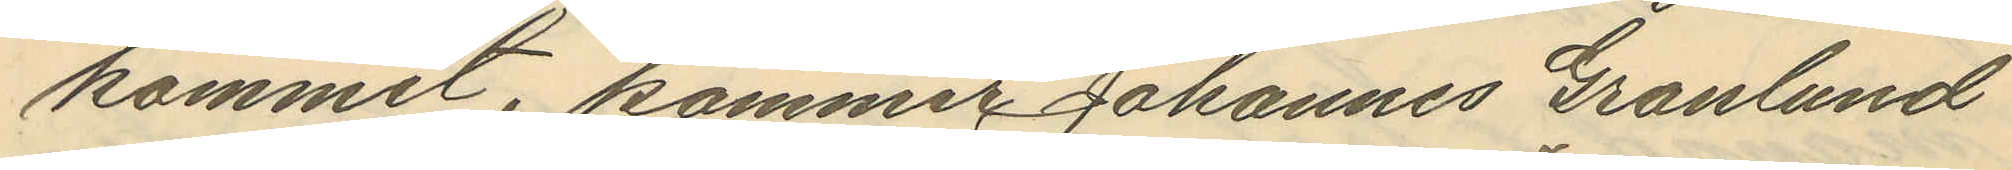kommit, kommer Johannes Granlund
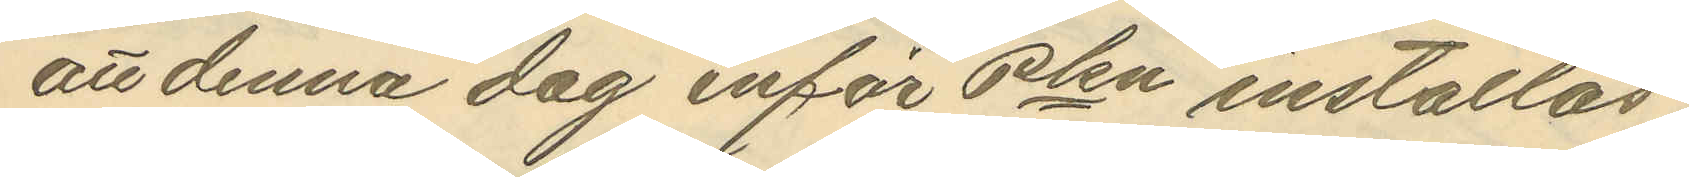att denna dag inför Pkn inställas
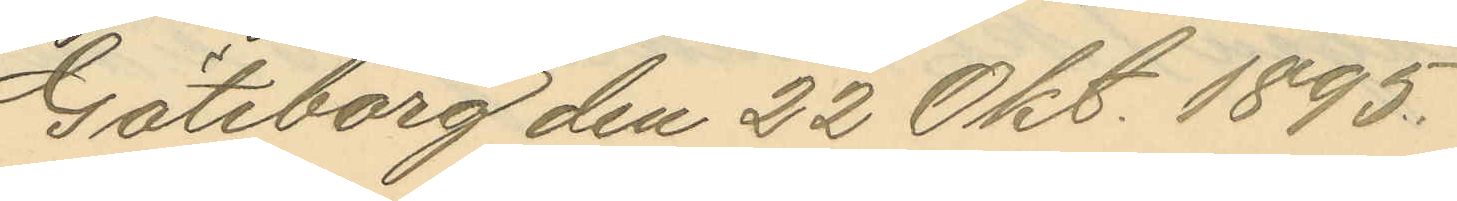Göteborg den 22 Okt. 1895.
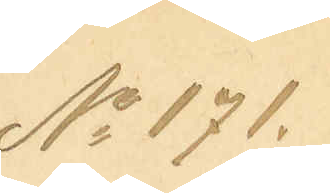No 171.
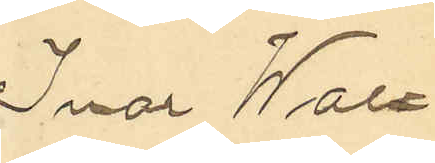Ivar Wall¬
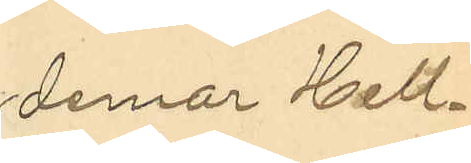demar Hell¬
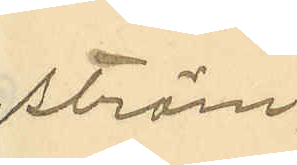ström
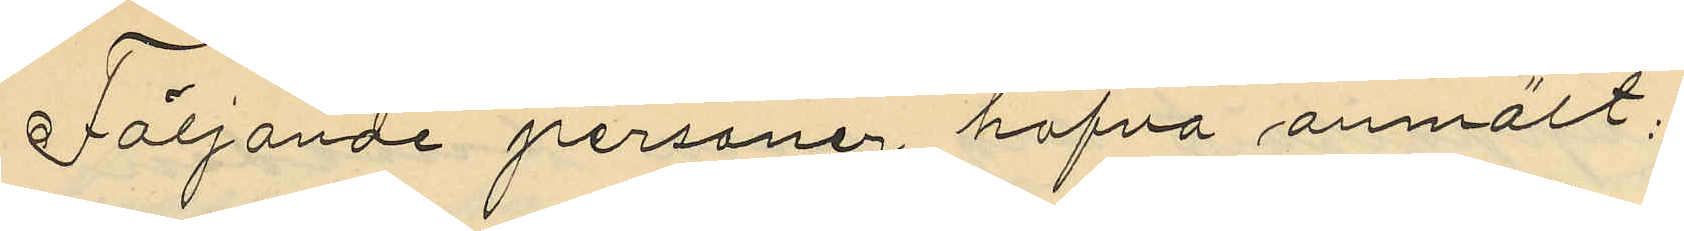Följande personer hafva anmält:
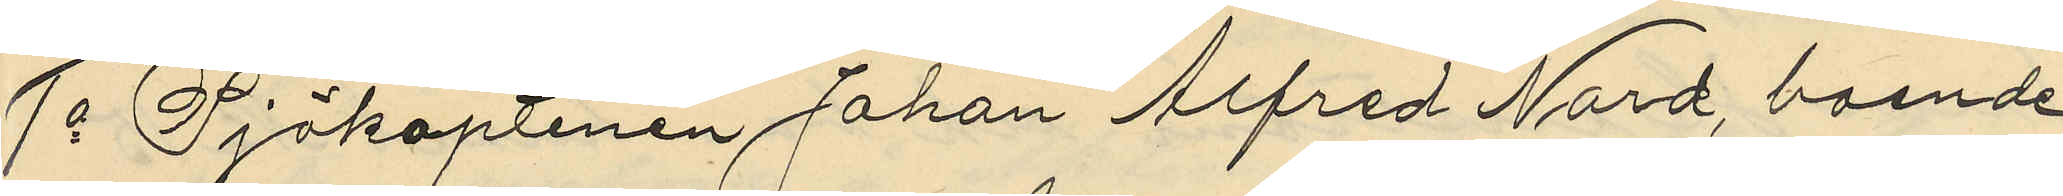1o Sjökaptenen Johan Alfred Nord, boende
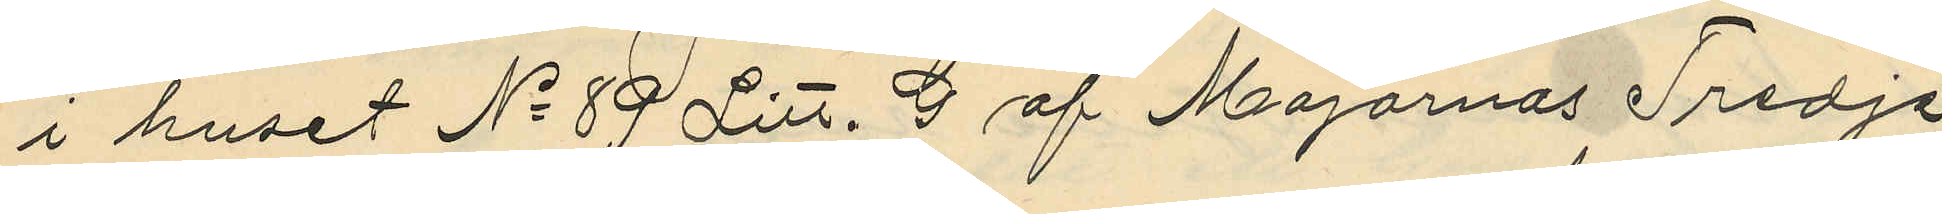i huset No 89 Litt. D af Majornas Tredje
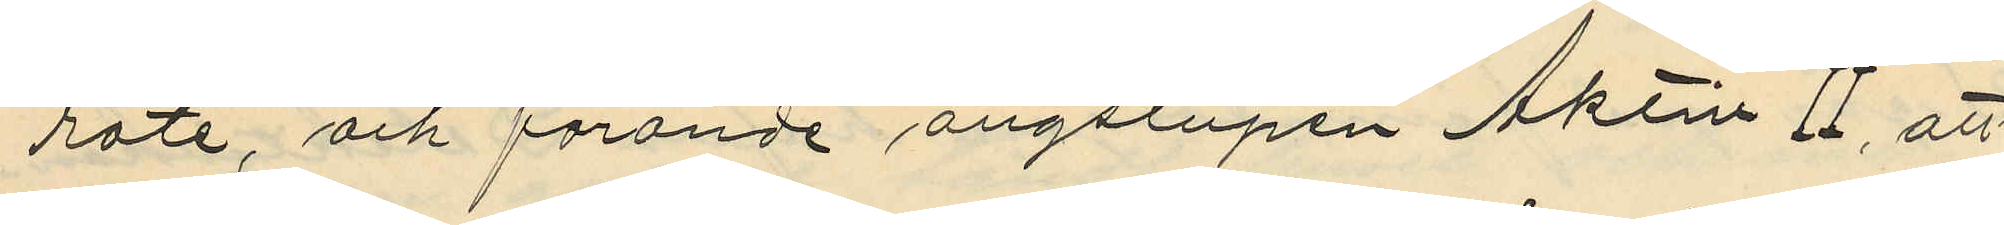rote, och förande ångslupen Aktiv II, att
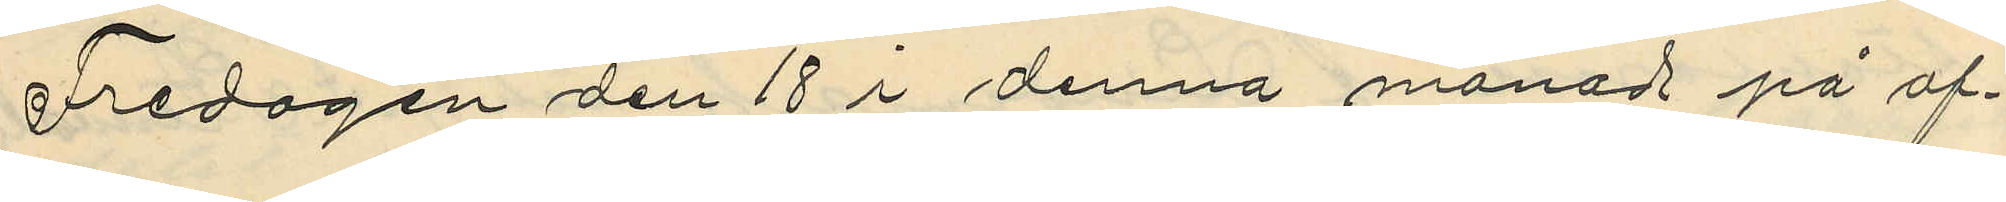Fredagen den 18 i denna månad på af¬
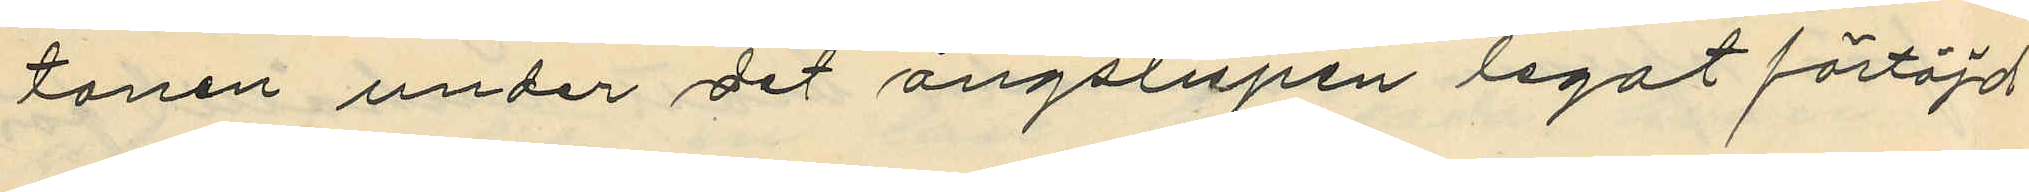tonen under det ångslupen legat förtöjd
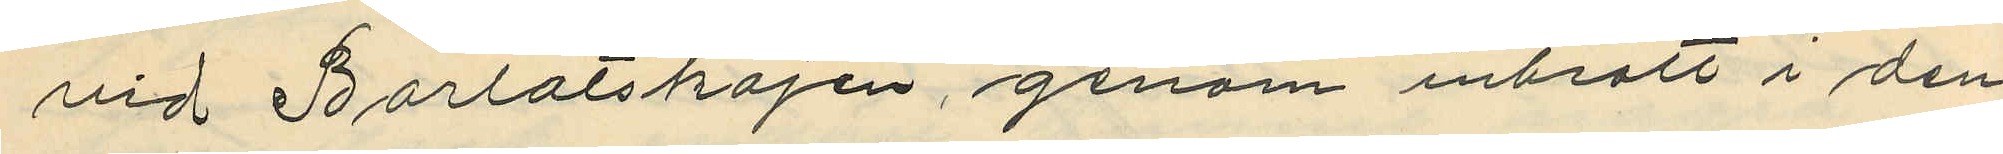vid Barlastkajen, genom inbrott i den
